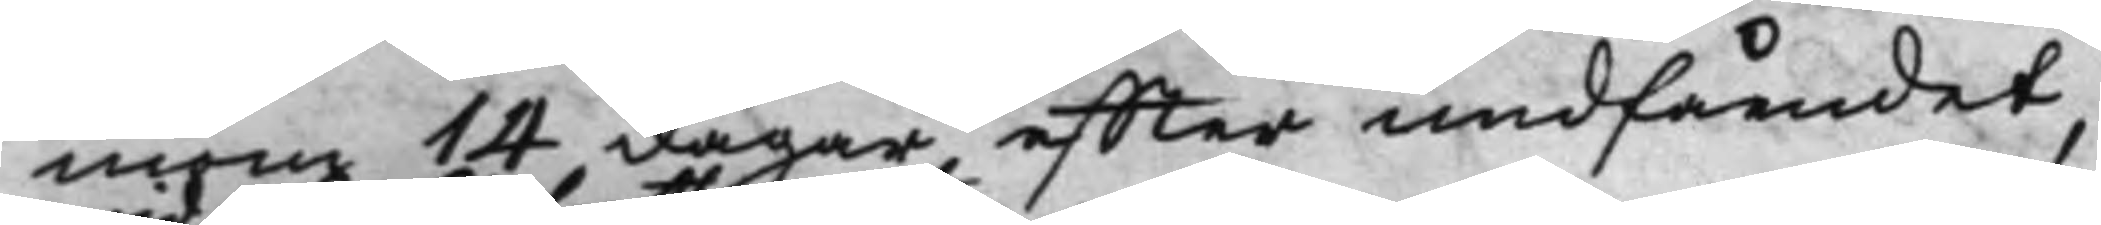inom 14 dagar, effter undfåendet,
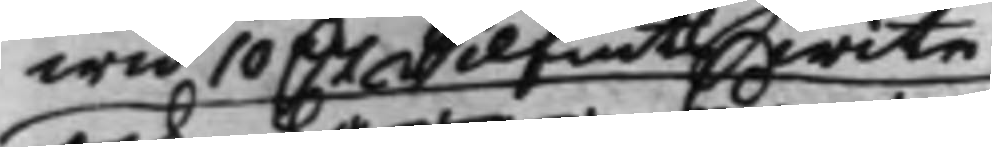wid 10 D.r Silfmts wite
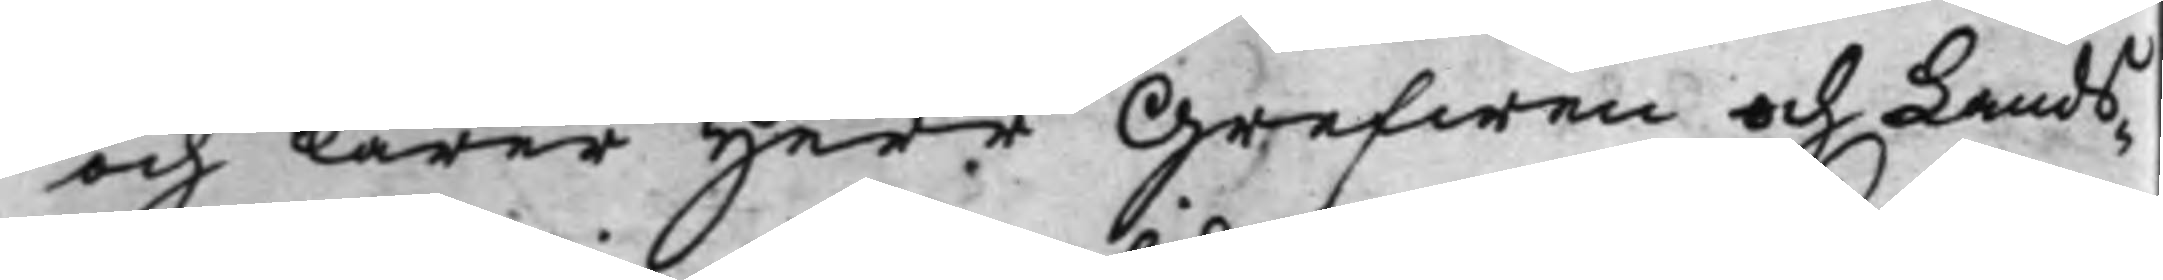om lärer Herr Grefwen och Lands¬
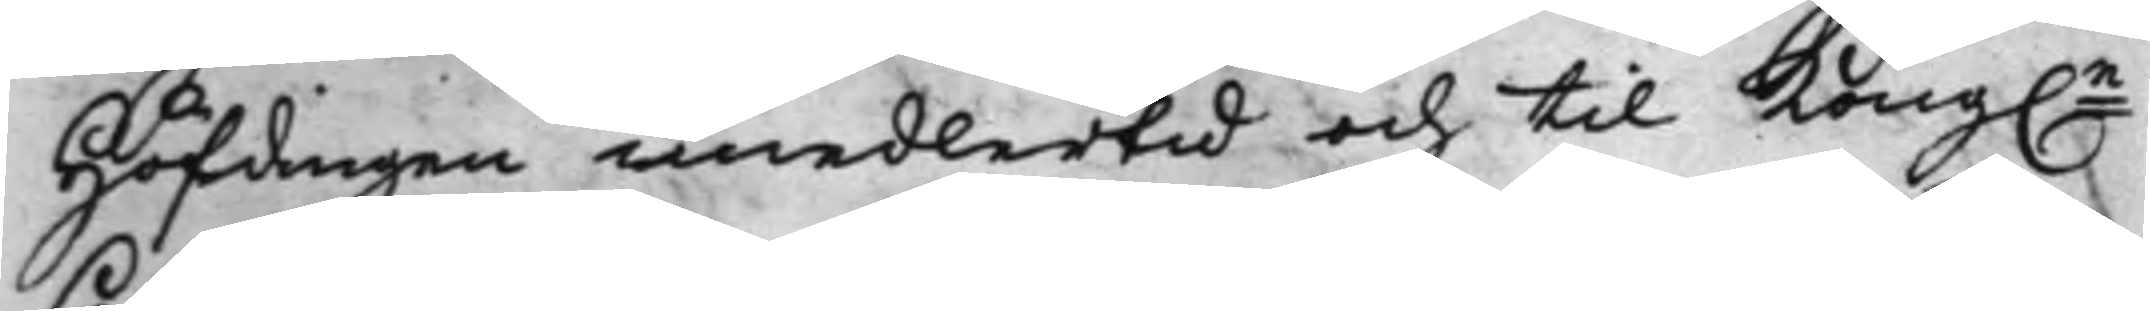Höfdingen imedlertid och til Kong.e
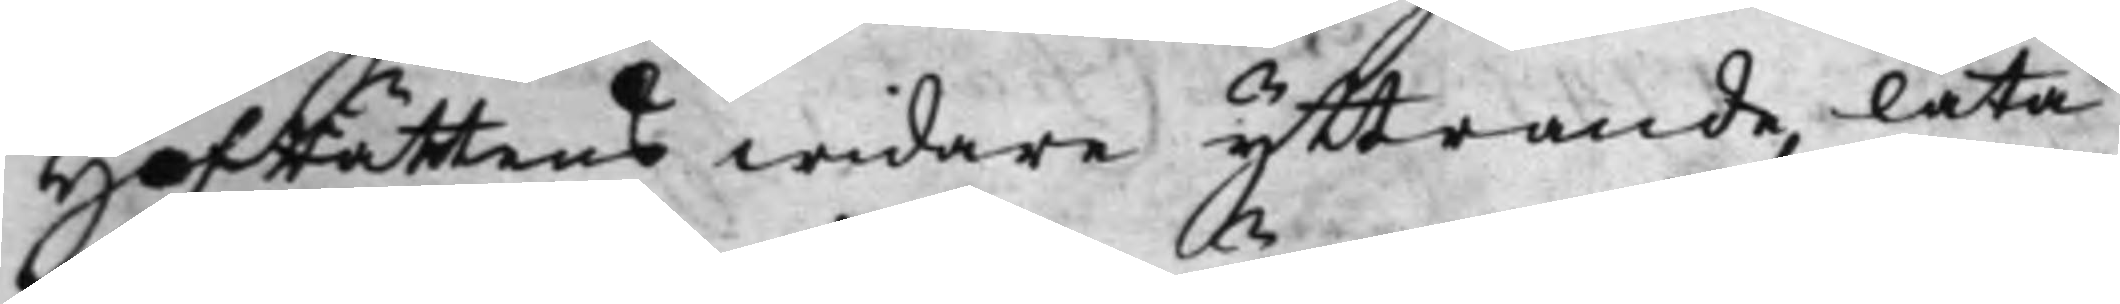HofRättens widare yttrande, låta
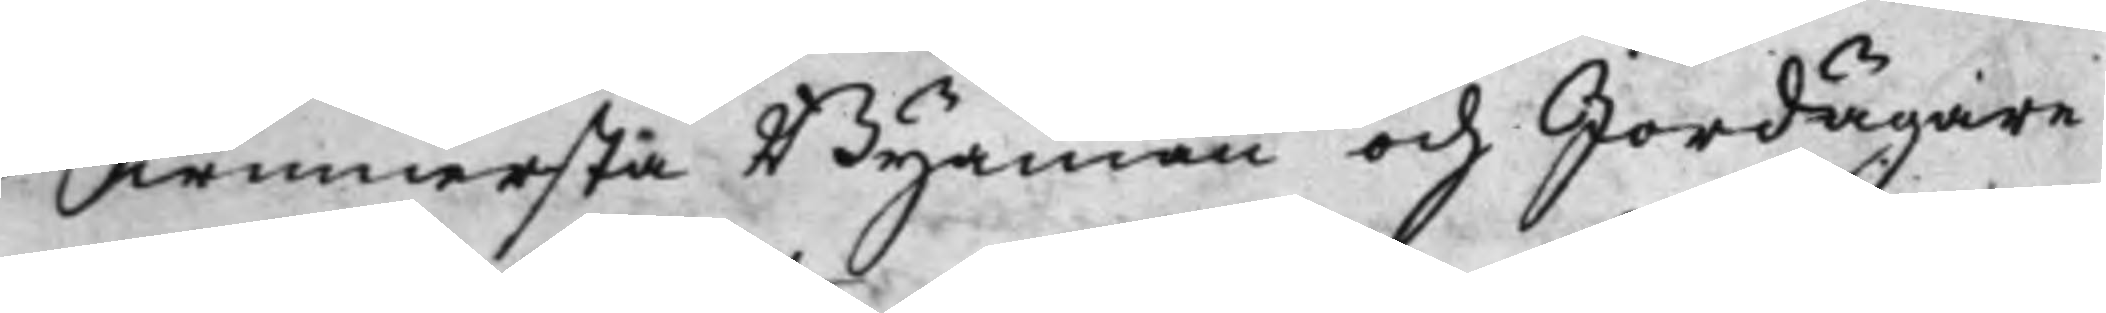Swinnersta Byamän och Jordägare
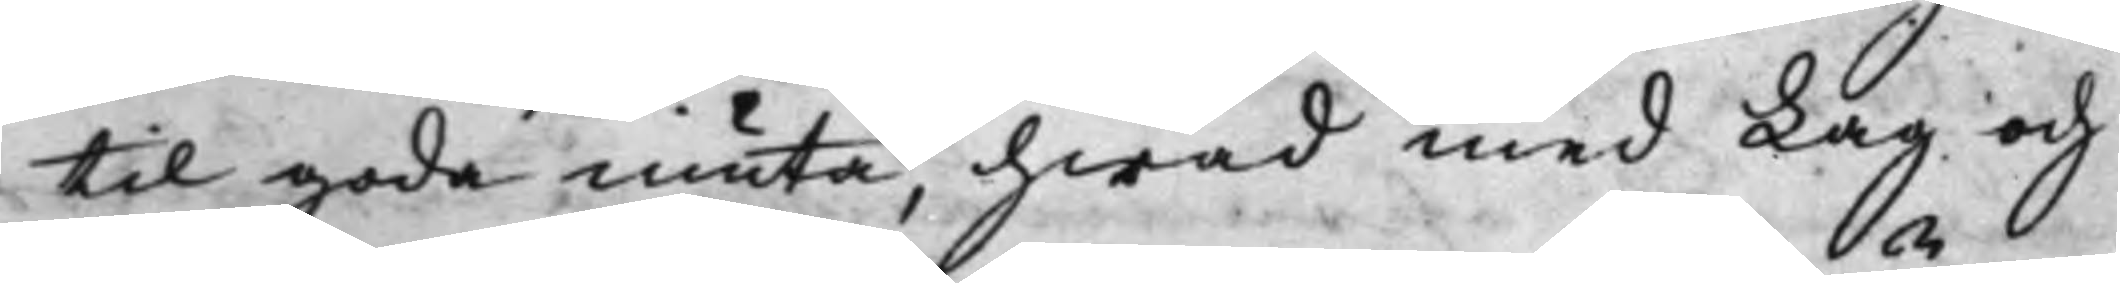til goda niuta, hwad med Lag och
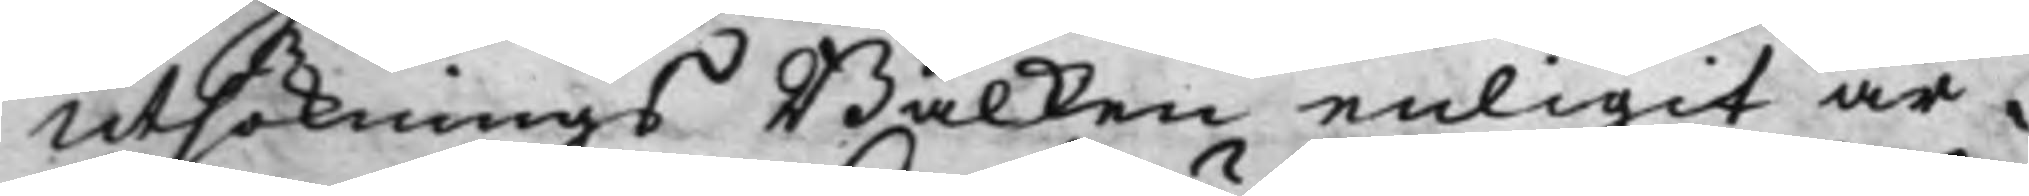Utsöknings Balken enligit är.
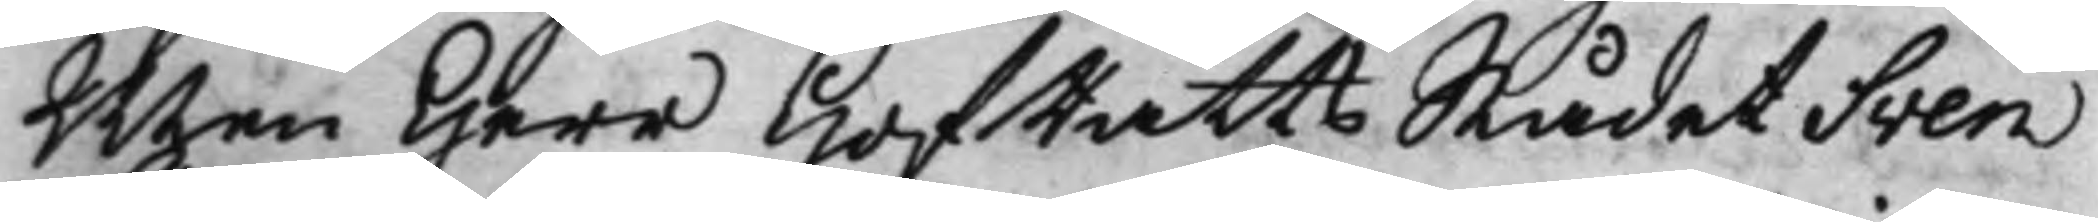Men Herr HofRättsRådet Sven
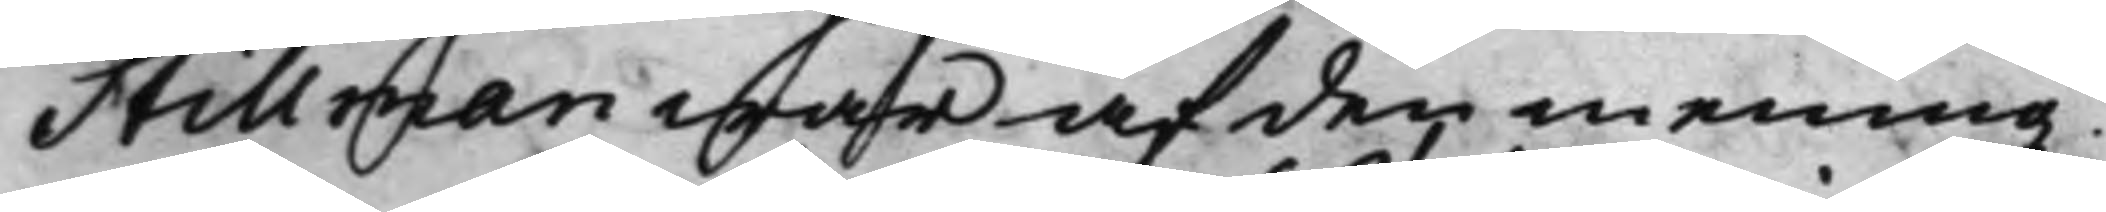Stillman war af den mening
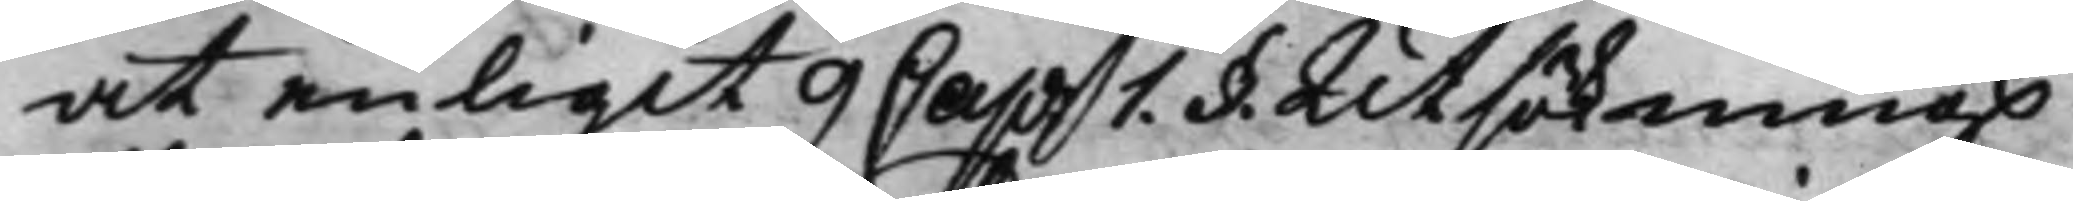at enligit 9 Cap 1. §. Utsöknings¬
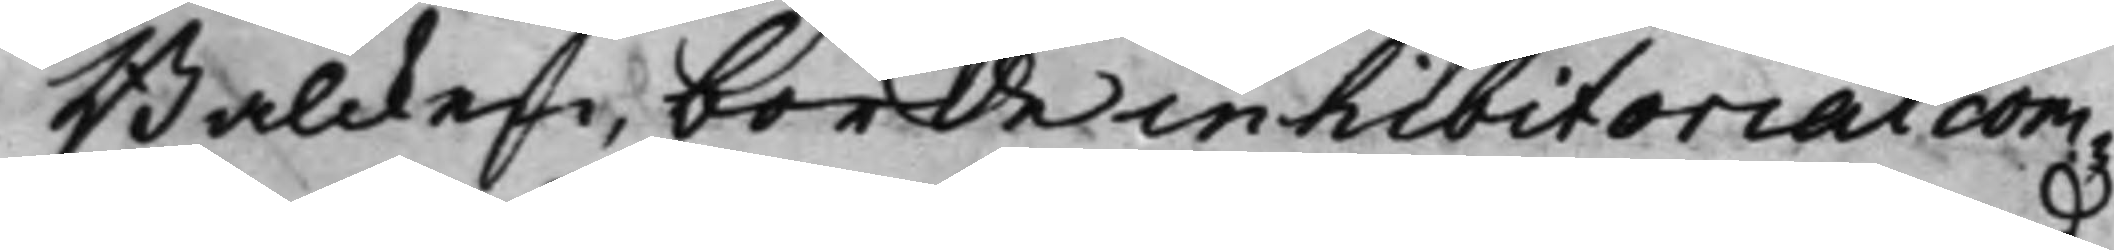Balcken, borde inhibitorial com¬
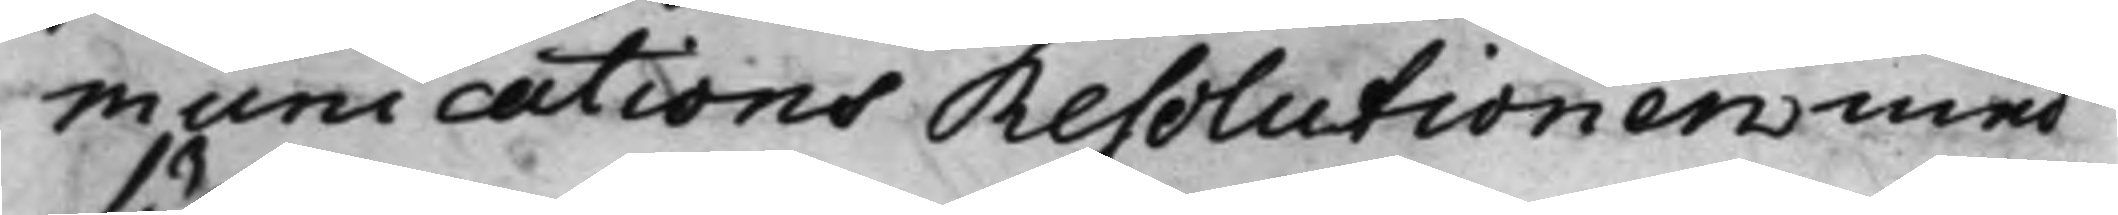munications Resolutionen med
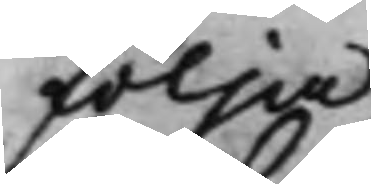följa
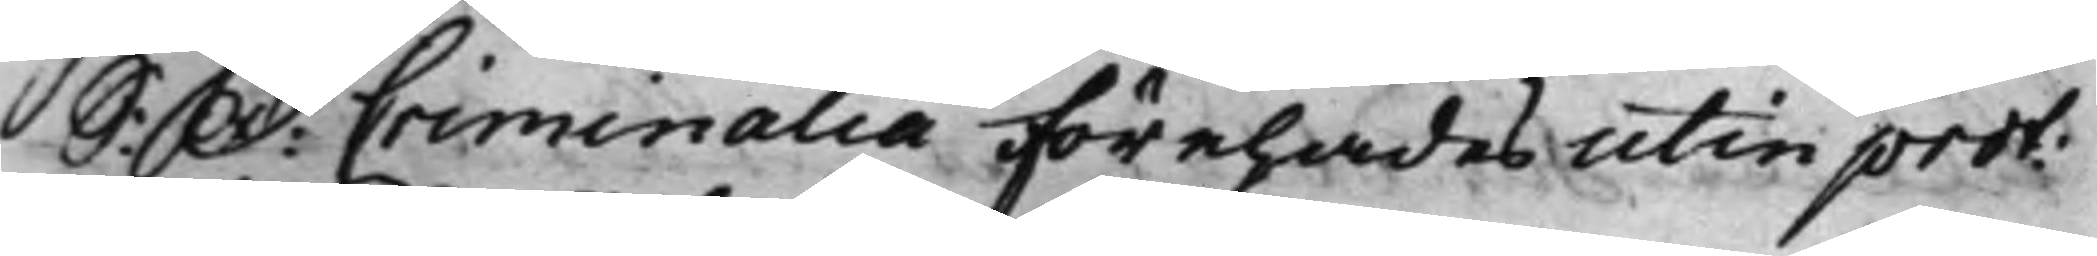S: D: Criminalia Förehades utin prot
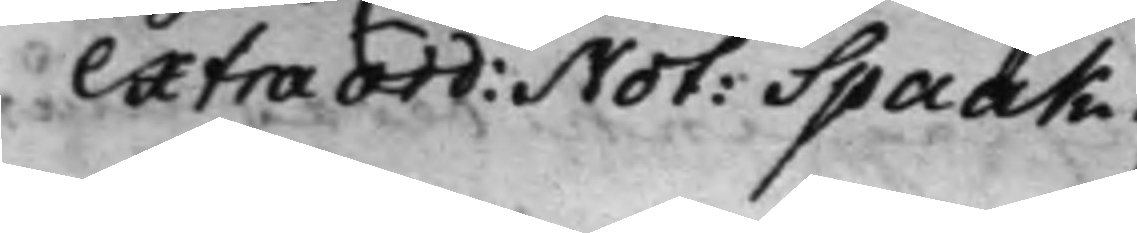Extra Ord: Not: Spaak.
